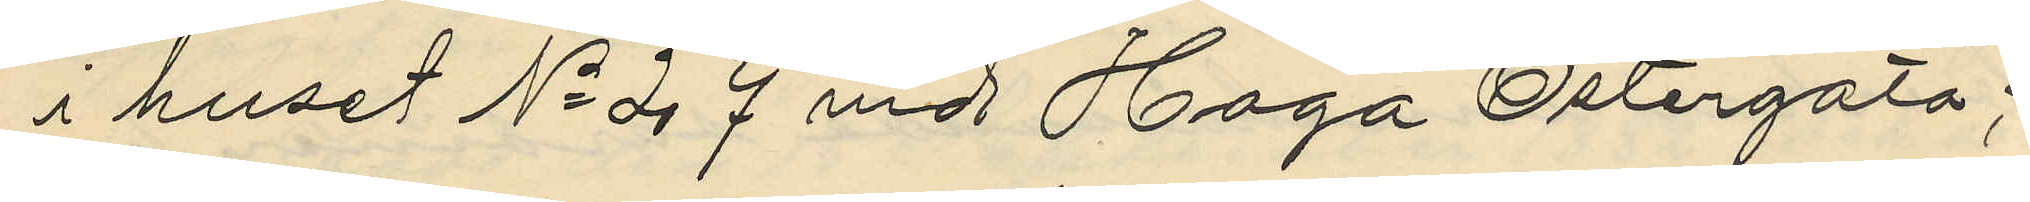i huset No 27 vid Haga Östergata;
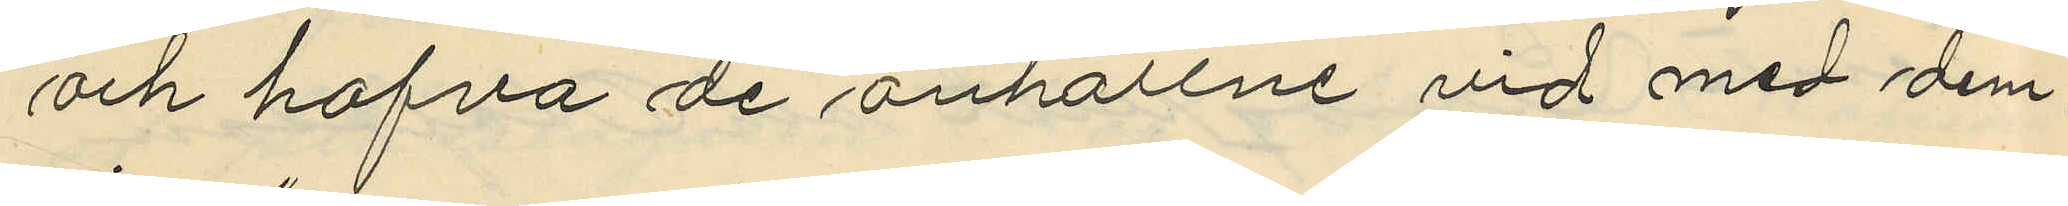och hafva de anhållne vid med dem
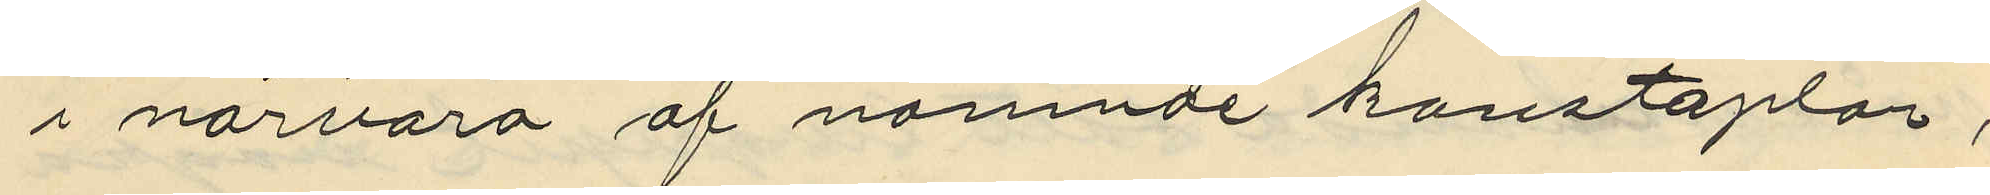i närvaro af nämnde konstaplar,
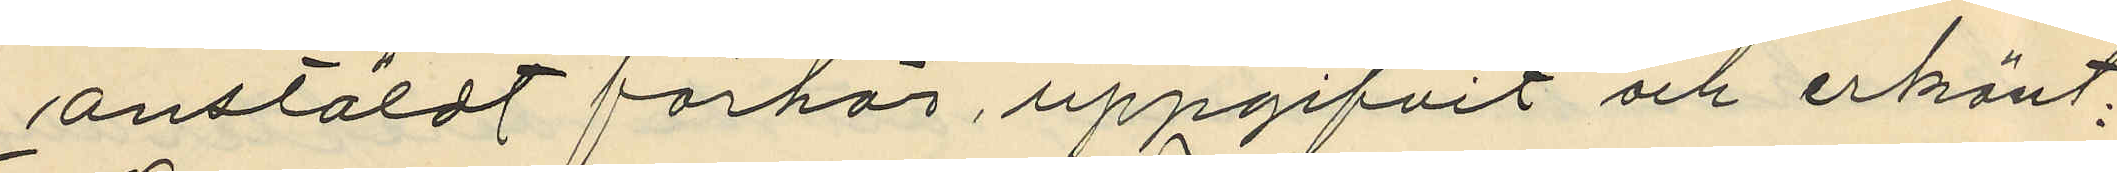anstäldt förhör, uppgifvit och erkänt,
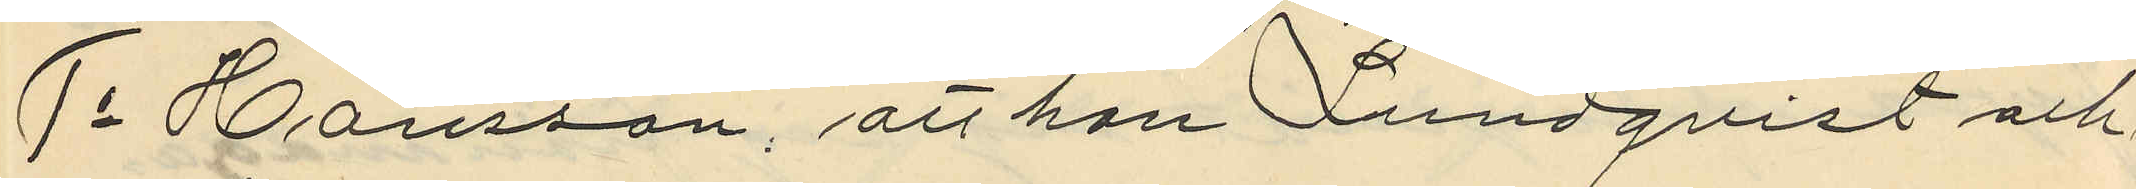1o Hansson, att han Lundqvist och
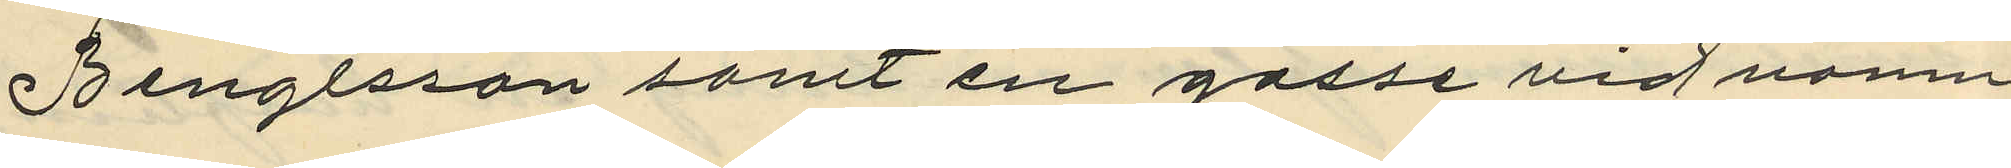Bengtsson samt en gosse vid namn
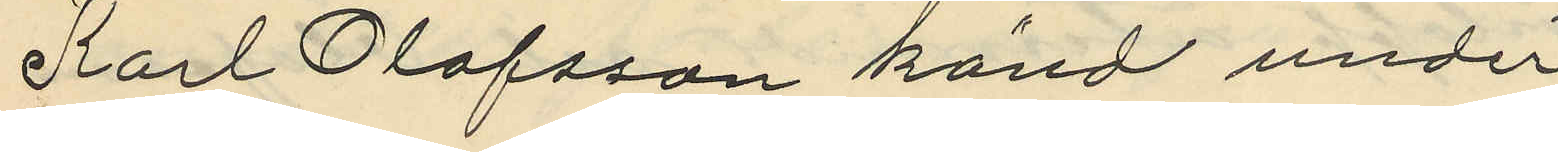Karl Olofsson känd under
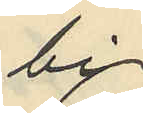by
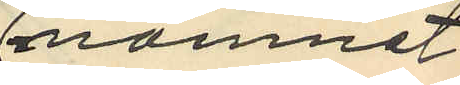namnet
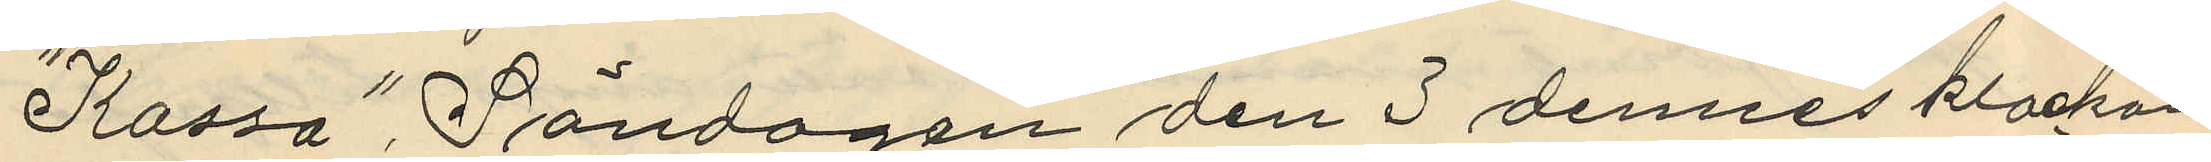"Kassa" Söndagen den 3 dennes klockan
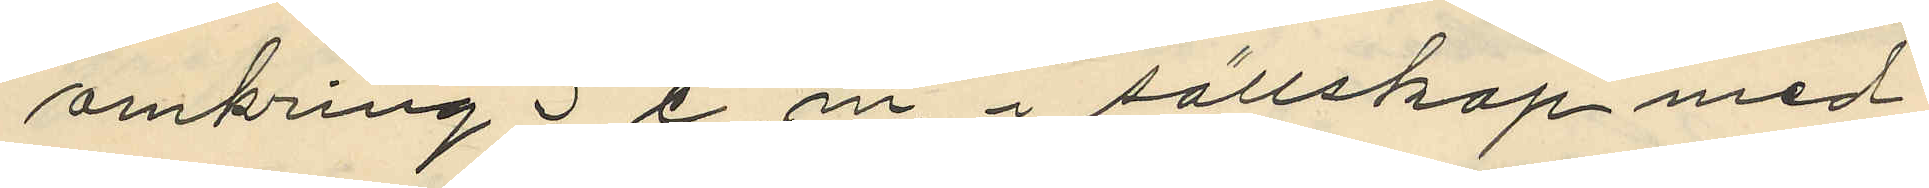omkring 3e. m. i sällskap med
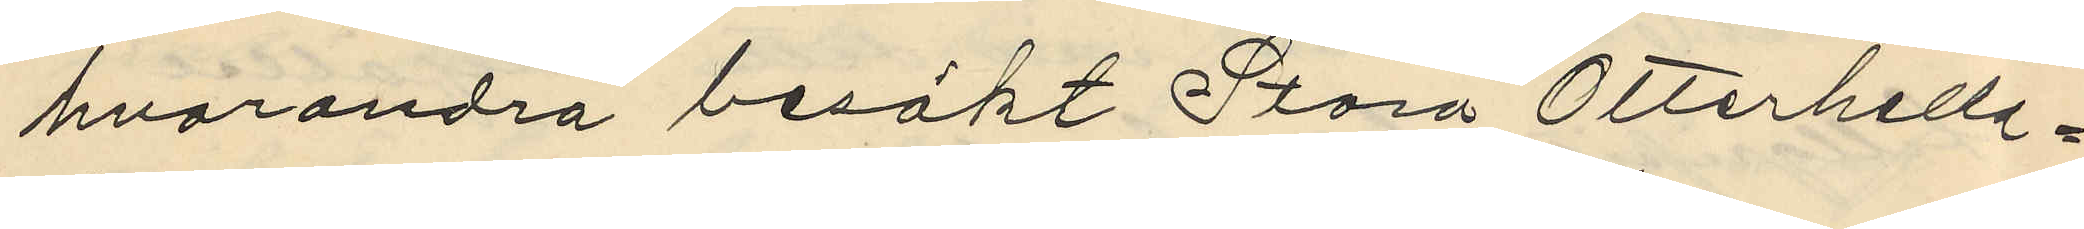hvarandra besökt Stora Otterhelle¬
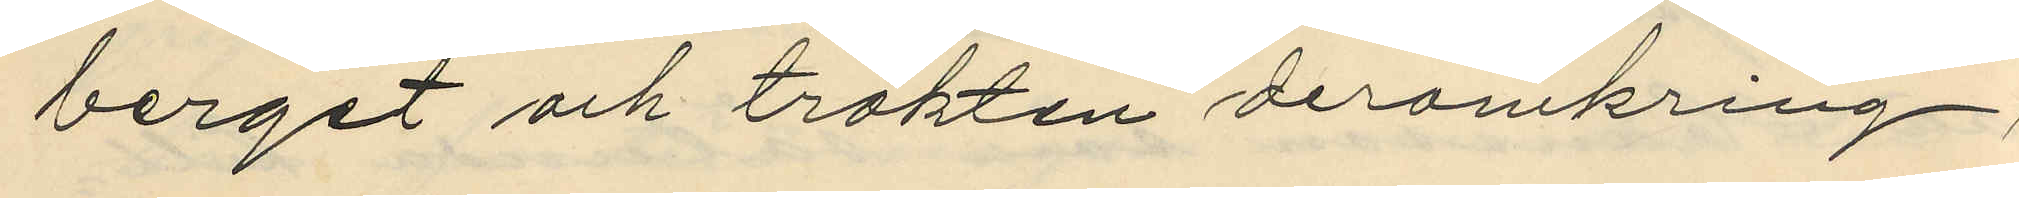berget och trakten deromkring;
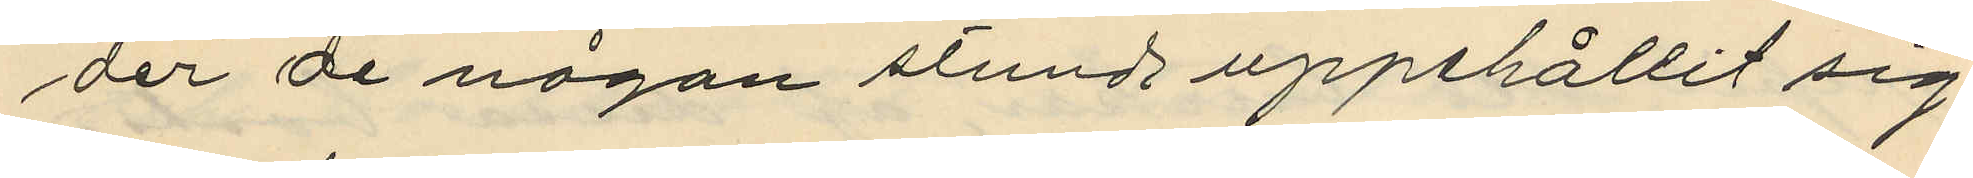der de någon stunds uppehållit sig
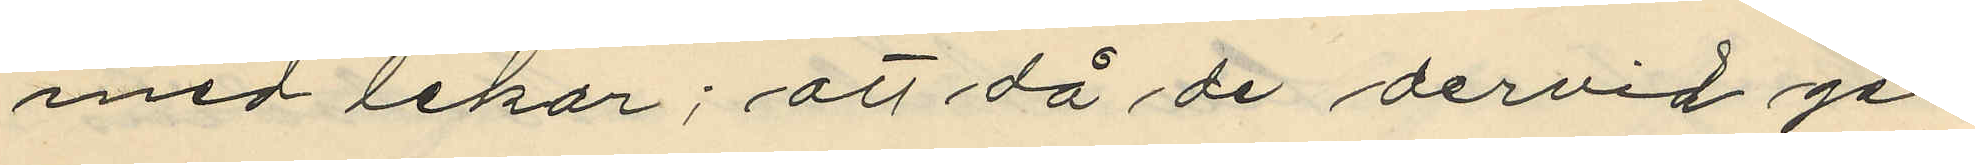med lekar; att då de dervid ge¬
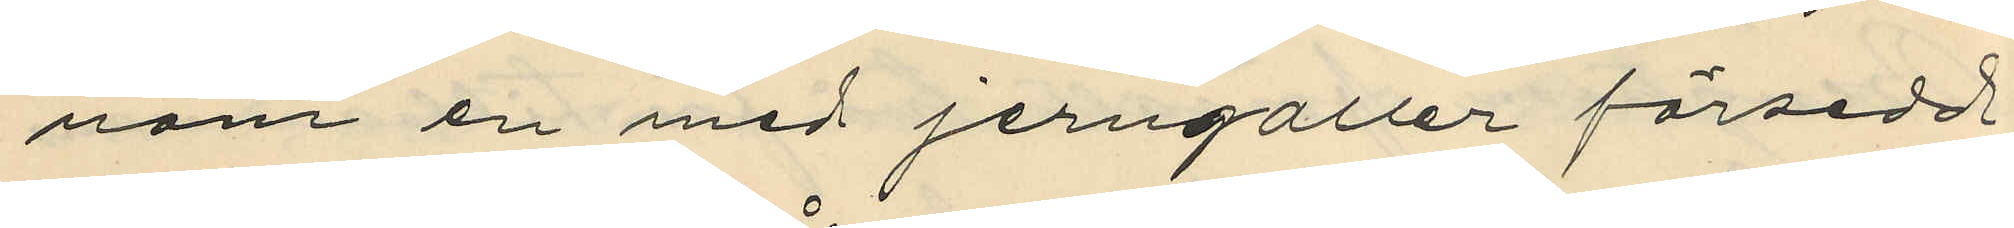nom en med jerngaller försedd
